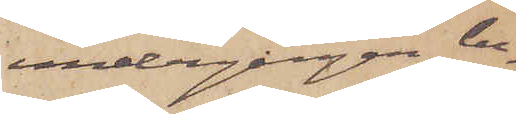undergången be¬
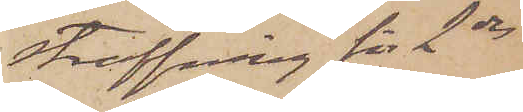straffning för 2dra
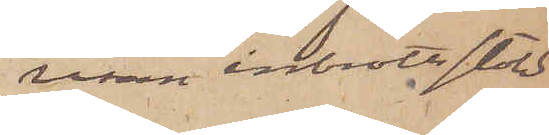resan inbrottsstöld.
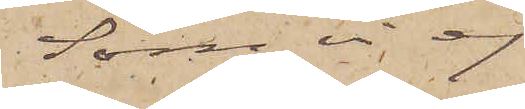Som vi ej
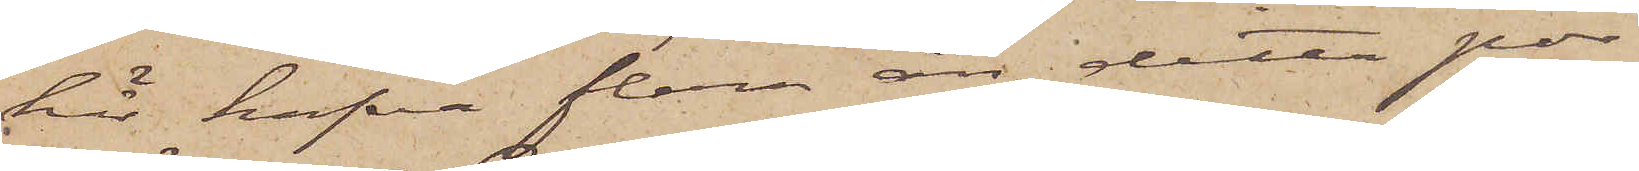här hafva flera än detta por¬
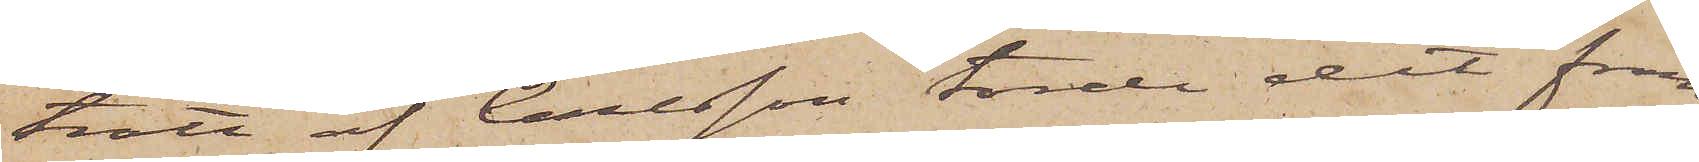trätt af Carlsson torde det fram¬
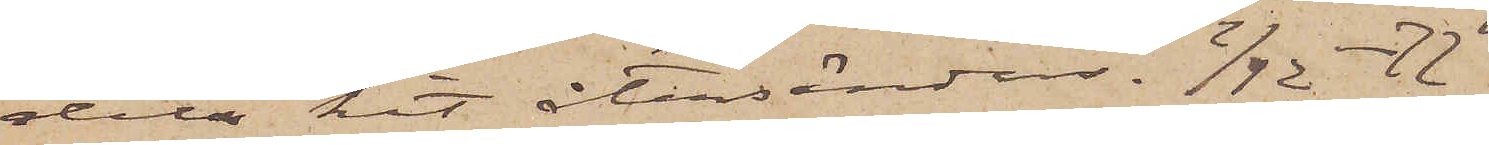deles hit återsändas.  2/12 -77
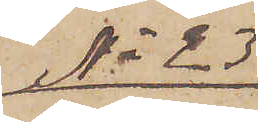No 23
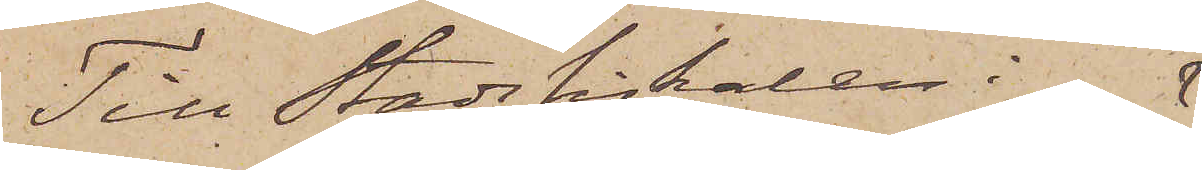Till Stadsfiskalen i
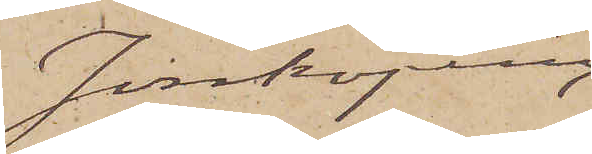Jönköping
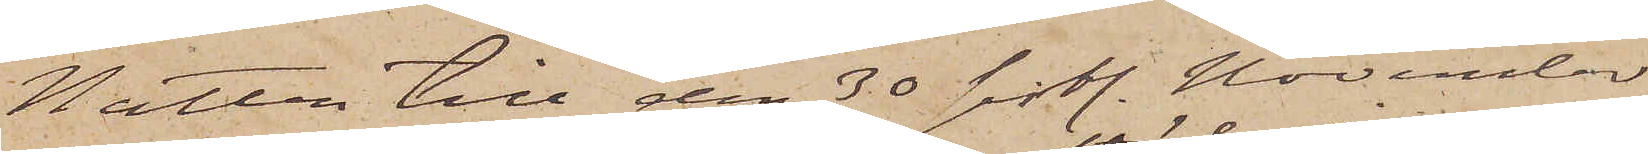Natten till den 30 sistl. November
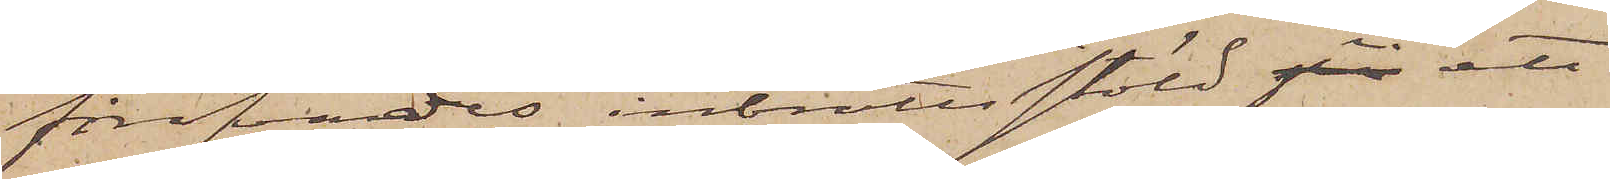föröfvades inbrottsstöld i ett
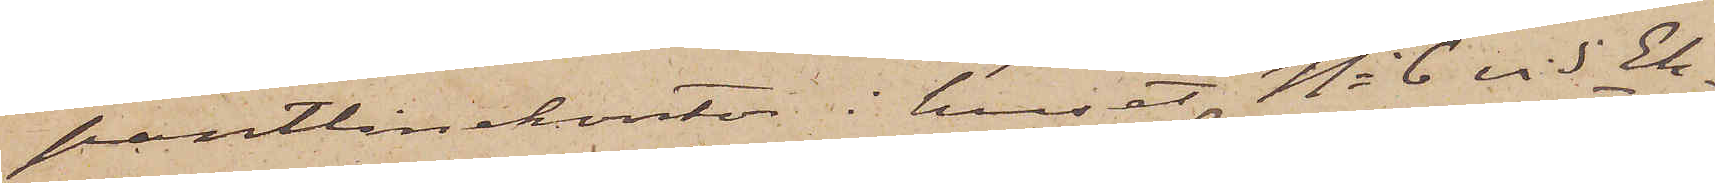pantlånekontor i huset No 6 vid Ek¬
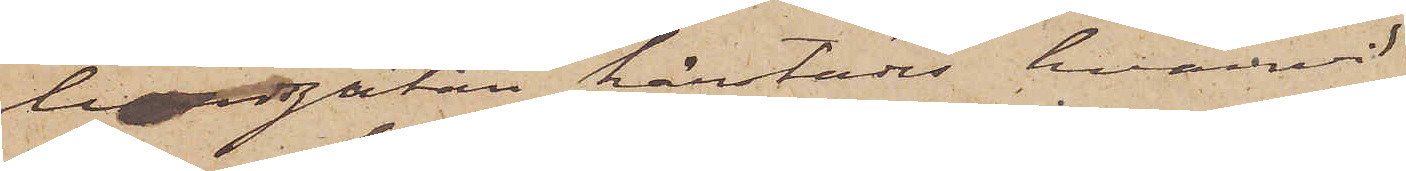lundsgatan härstädes, hvarvid
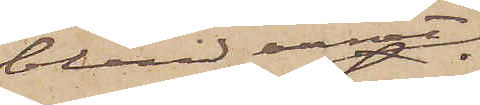bland annat
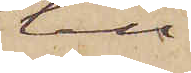till¬
